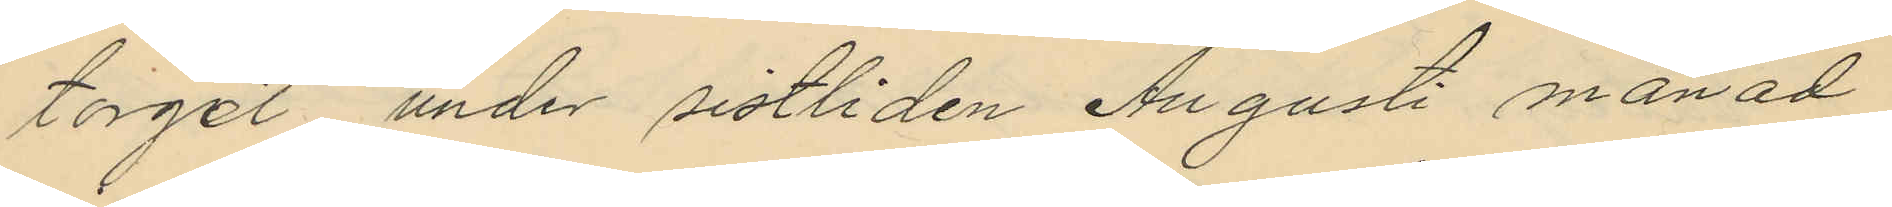torget under sistliden Augusti månad
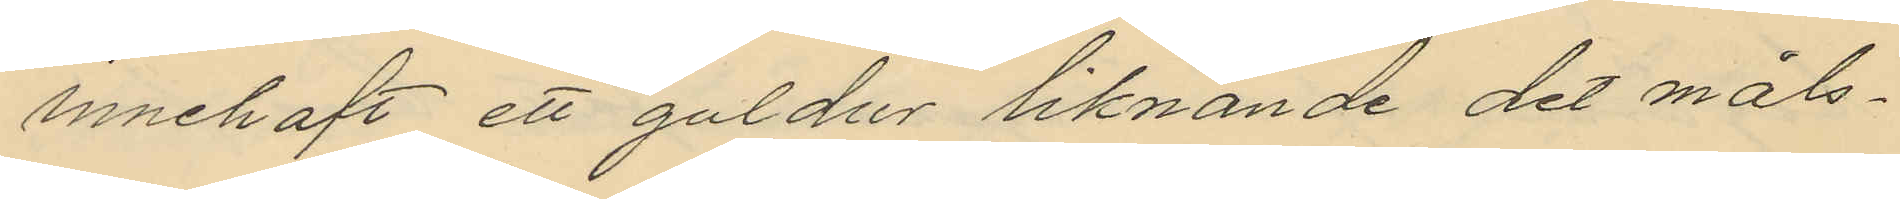innehaft ett guldur liknande det måls¬
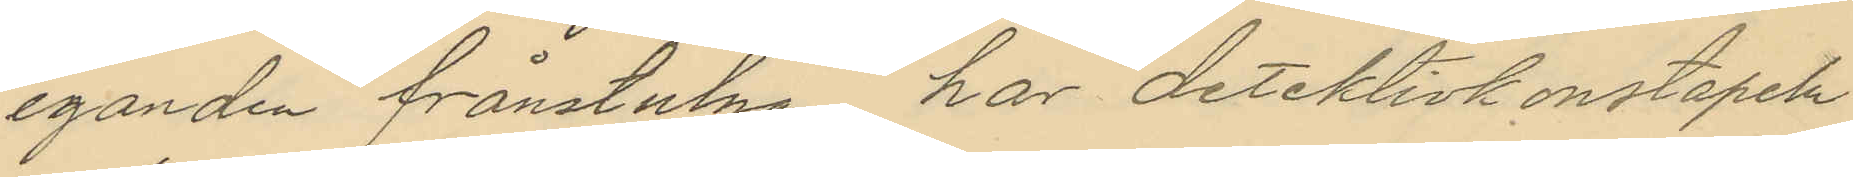eganden frånstulna har detektivkonstapeln
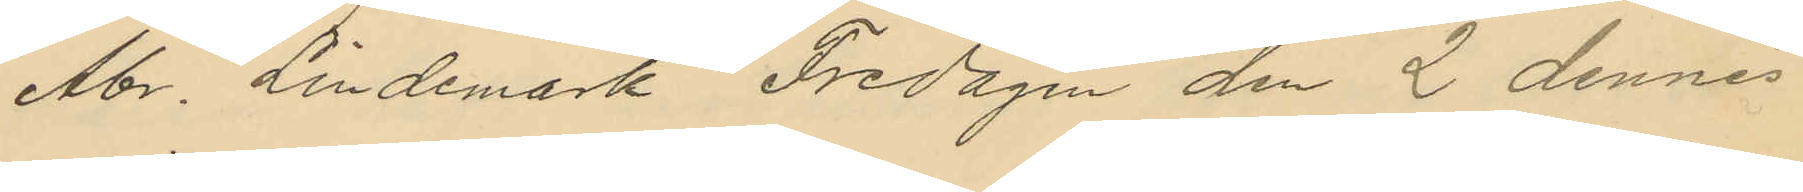Abr. Lindemark Fredagen den 2 dennes
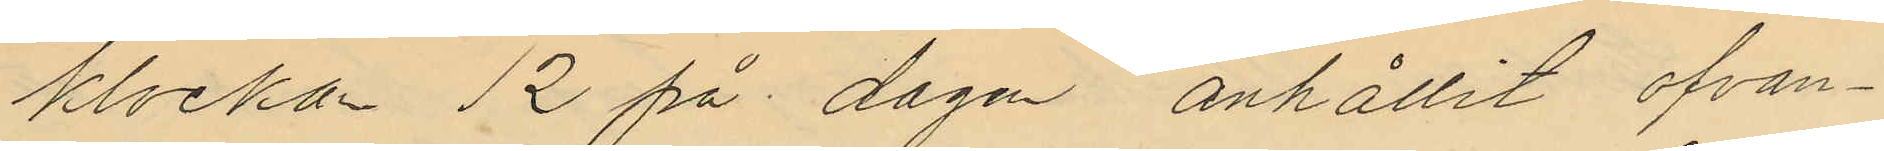klockan 12 på dagen anhållit ofvan¬
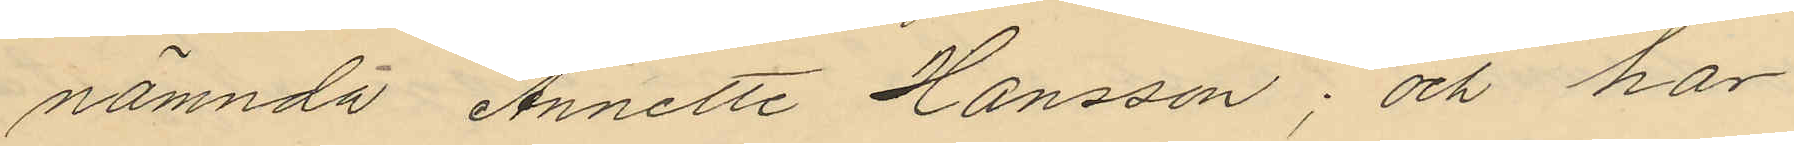nämnda Annette Hansson; och har
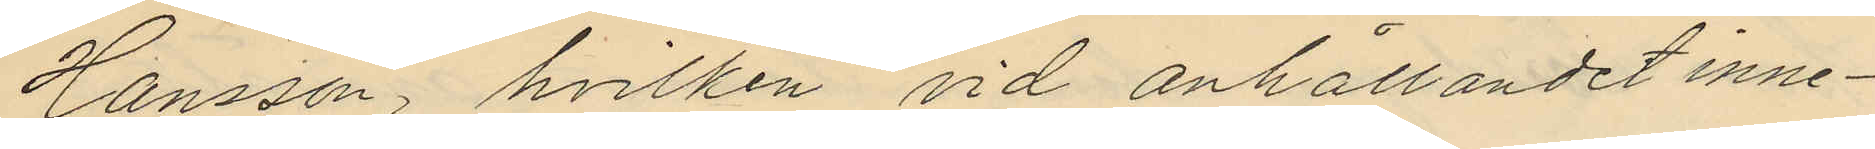Hansson, hvilken vid anhållandet inne¬
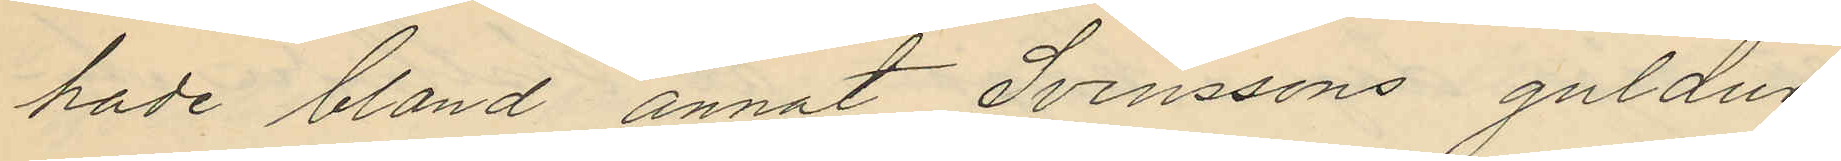hade bland annat Svenssons guldur
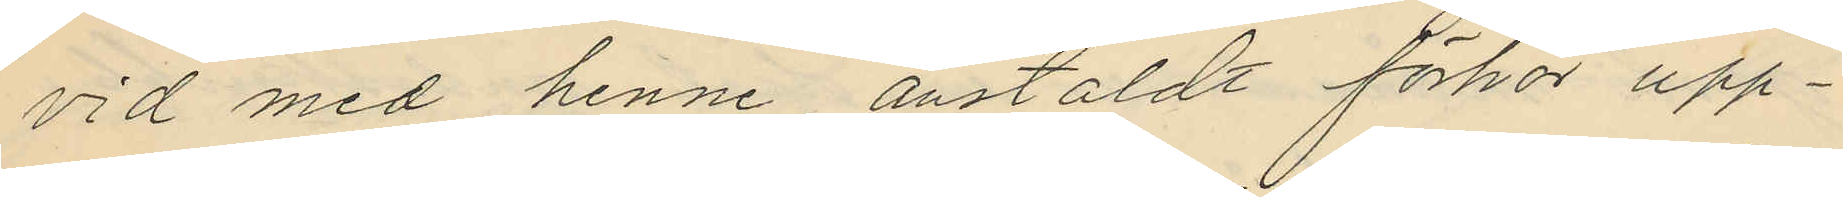vid med henne anstäldt förhör upp¬
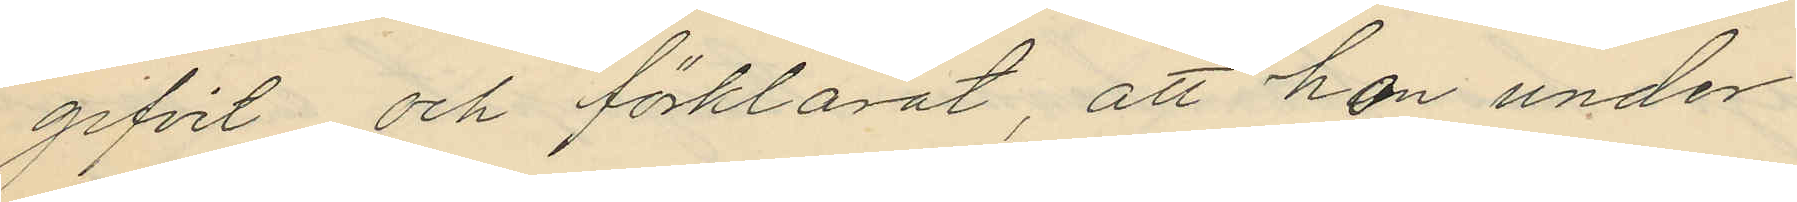gifvit och förklarat, att hon under
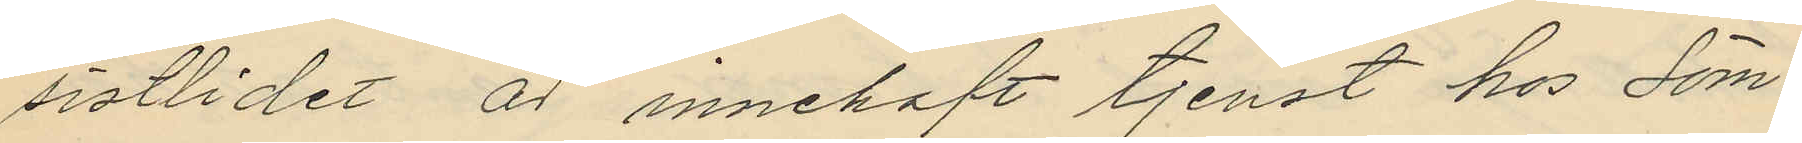sistlidet år innehaft tjenst hos Söm¬
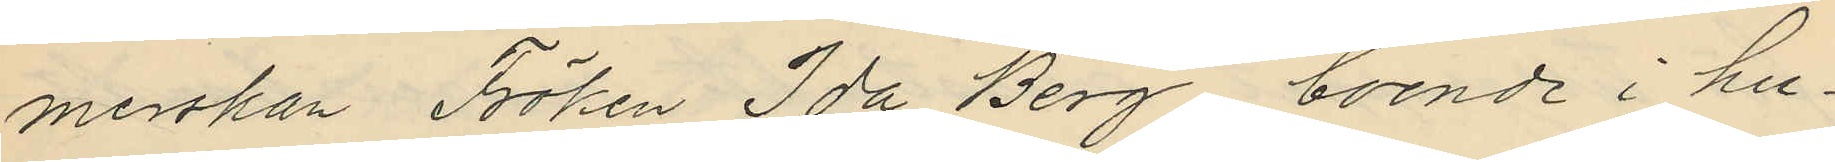merskan Fröken Ida Berg, boende i hu¬
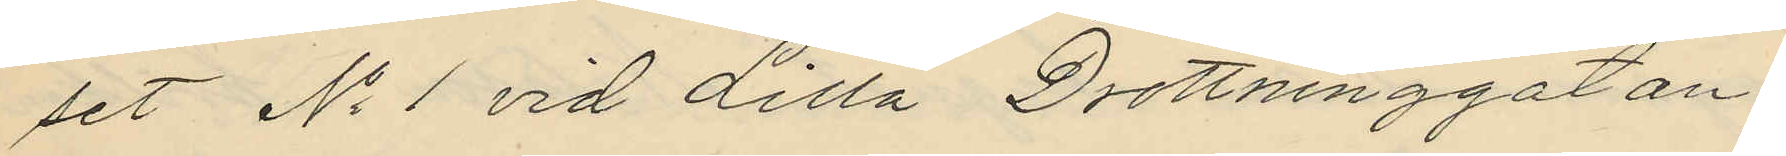set No 1 vid Lilla Drottninggatan,
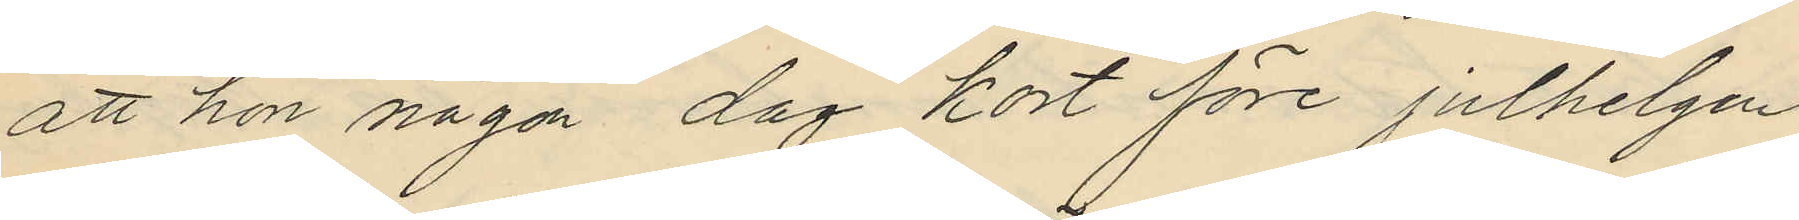att hon någon dag kort före julhelgen
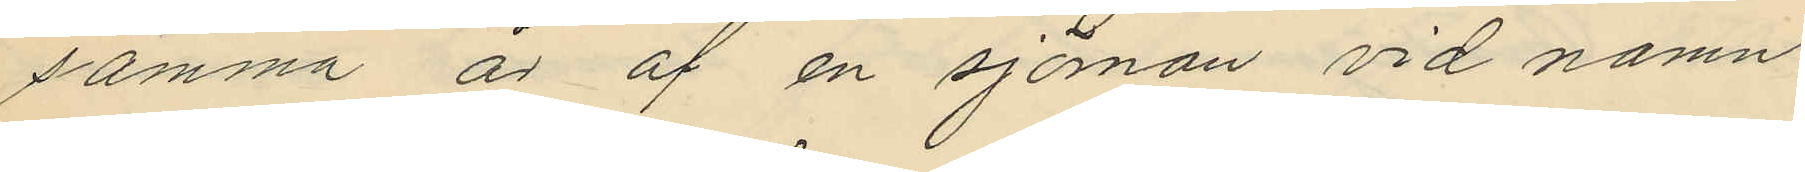samma år af en sjöman vid namn
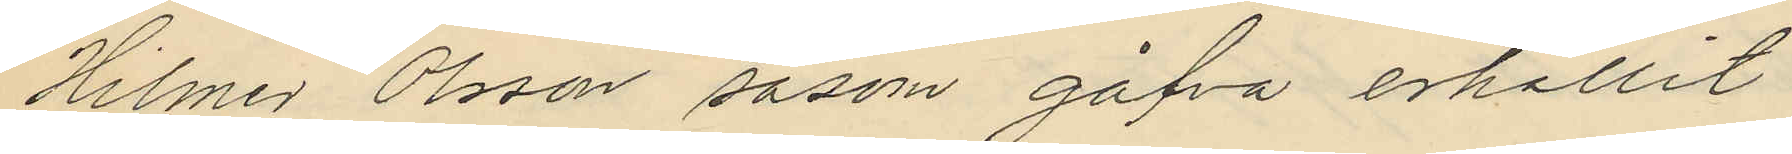Hilmer Olsson såsom gåfva erhållit
